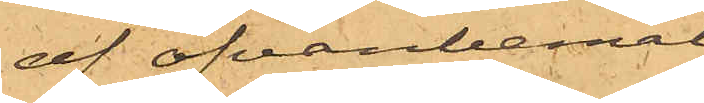af ofvanbemäl¬
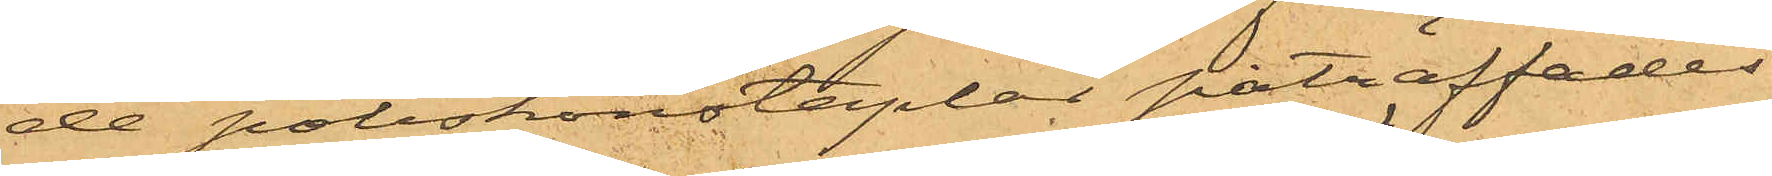de poliskonstaplar påträffades
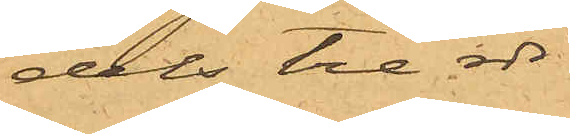dels tre rdr
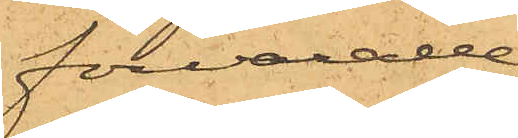förvarade
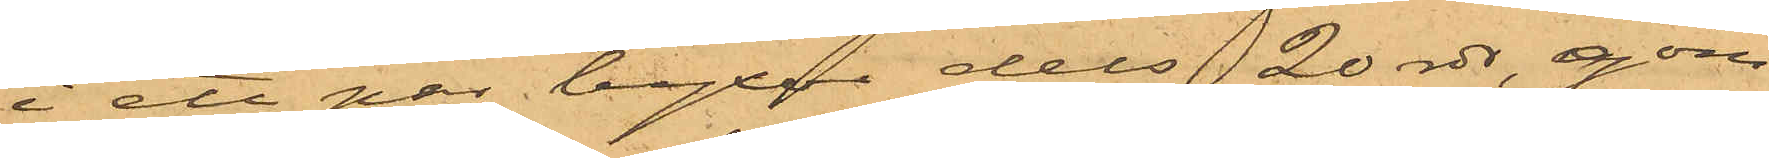i ett par byxor dels 20 rdr, göm¬
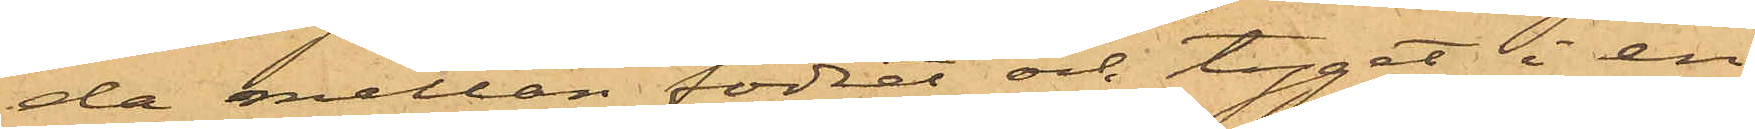da mellan fodret och tyget i en
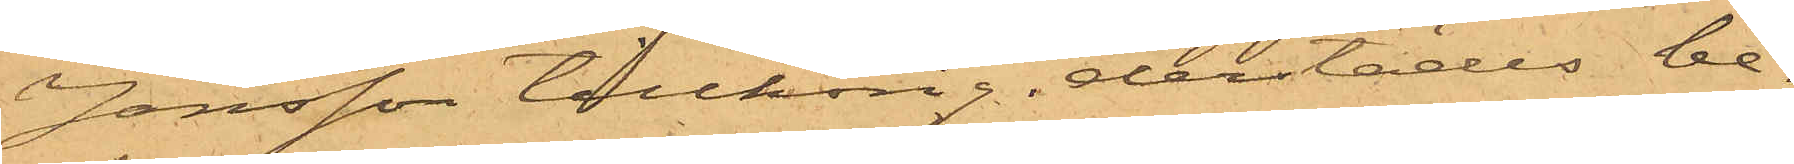Jonsson tillhörig derstädes be¬
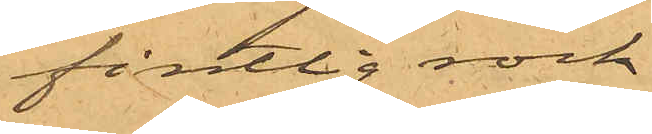fintlig rock.
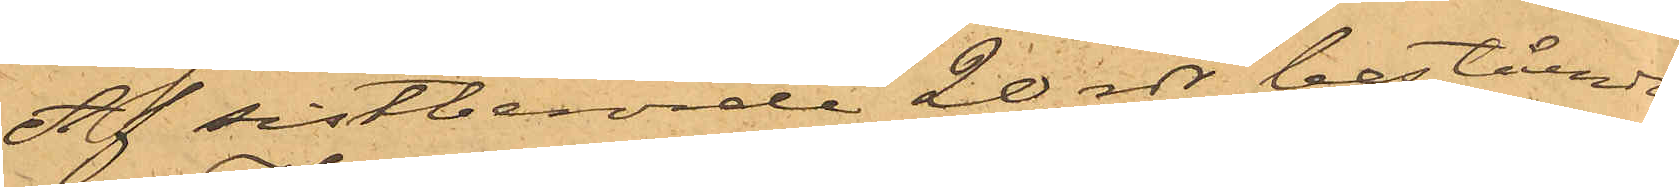Af sistberörde 20 rdr, bestående
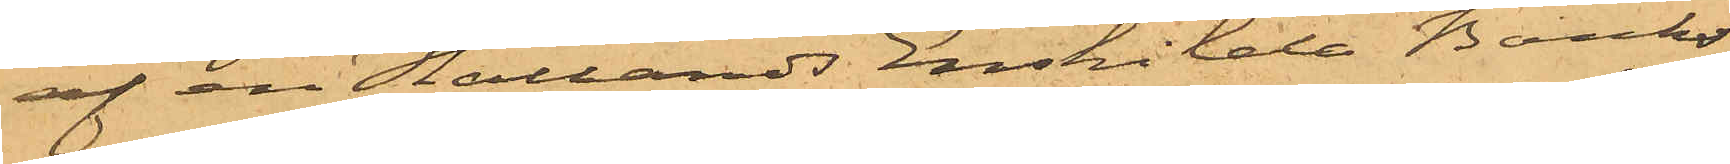af en Hallands Enskilda Banks
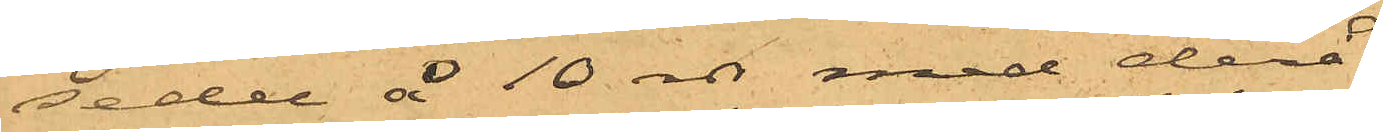sedel å 10 rdr med derå
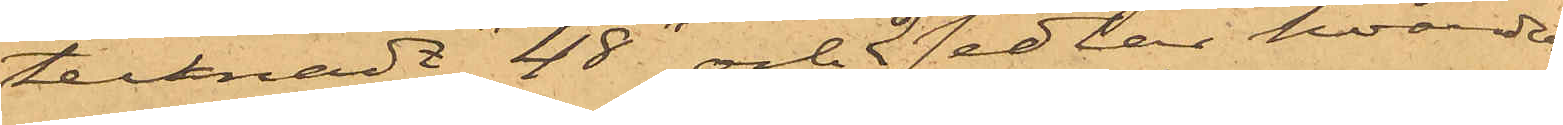tecknadt "48" och 2 sedlar hvardera
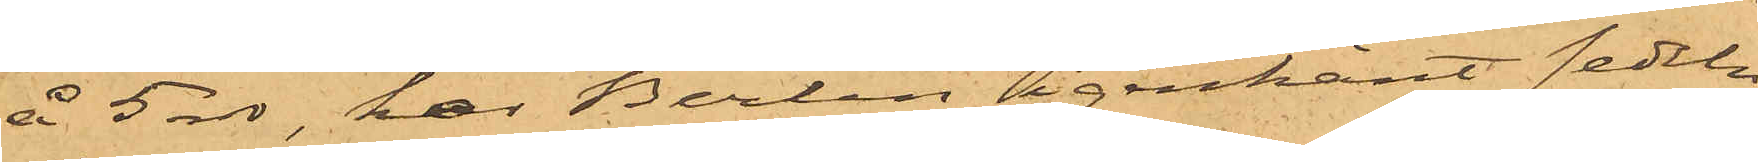å 5 rdr, har Berlin igenkänt sedeln
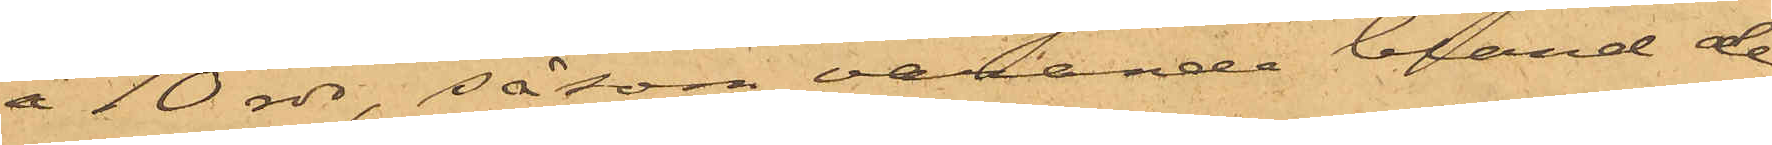å 10 rdr, såsom varande bland de
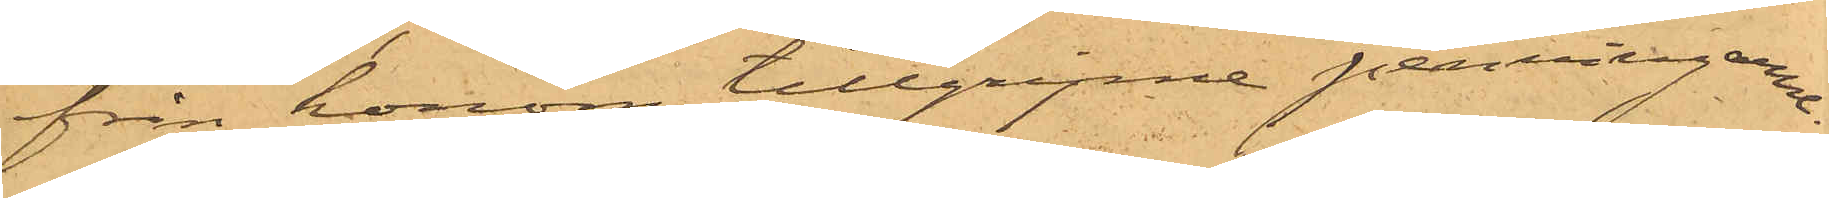från honom tillgripne penningarne.
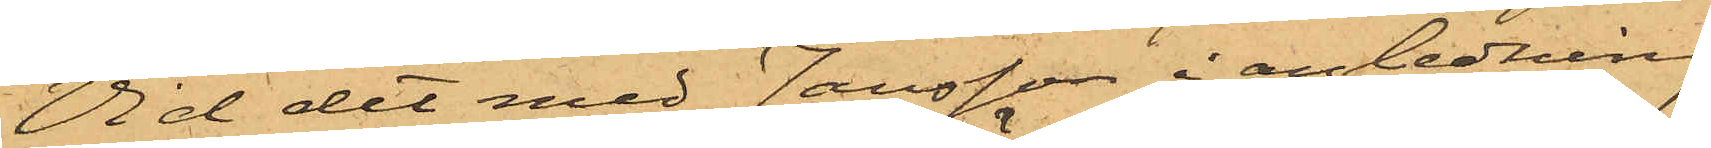Vid det med Jansson i anledning
